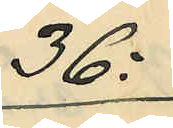36:
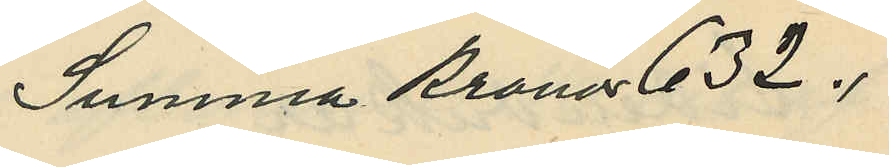Summa Kronor 632.
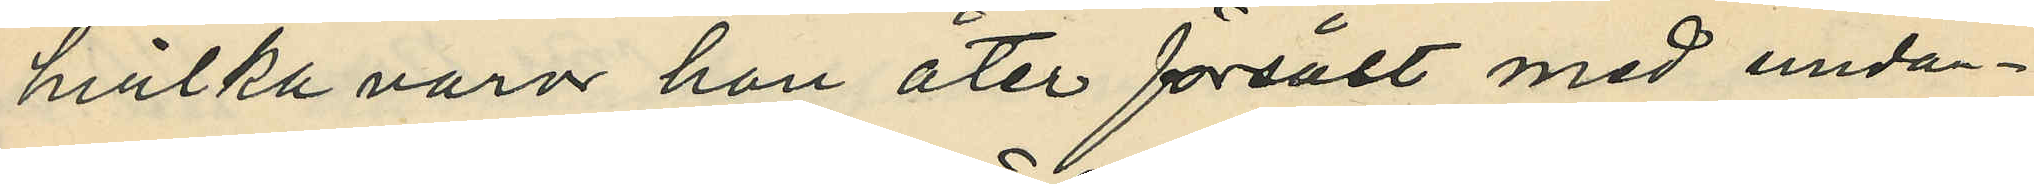hvilka varor hon åter försålt med undan¬
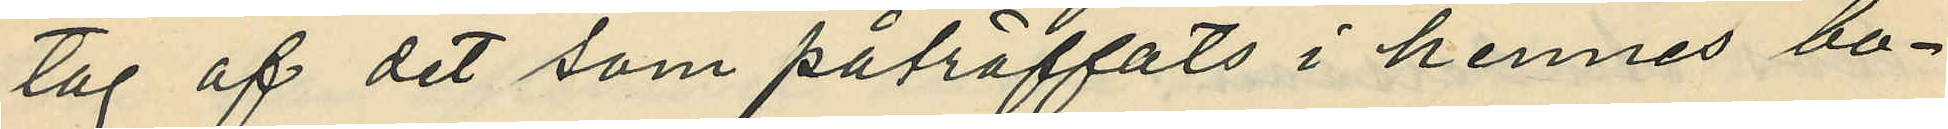tag af det som påträffats i hennes bo¬
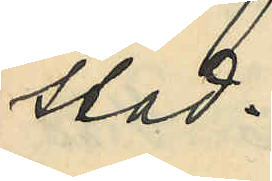stad.
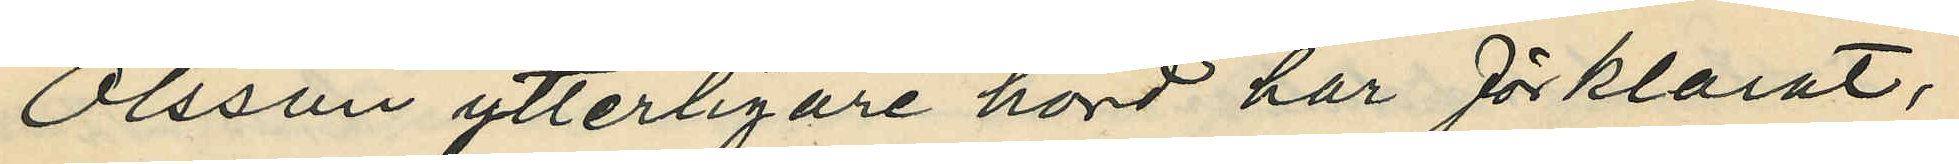Olsson ytterligare hörd har förklarat,
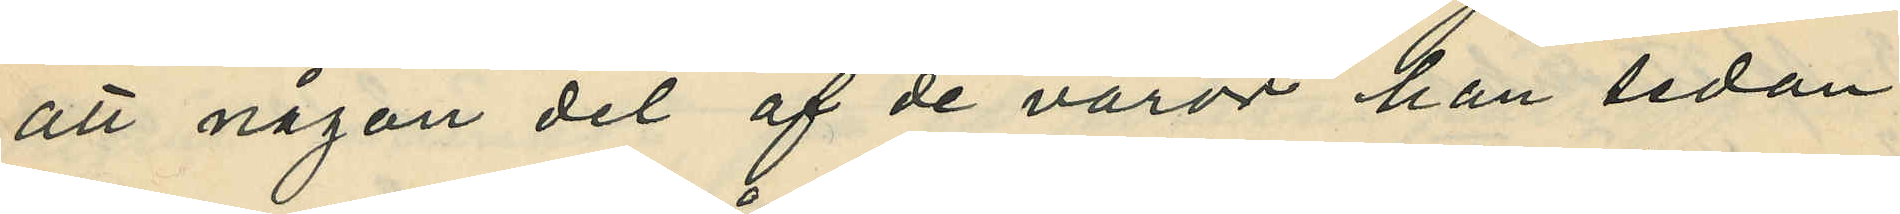att någon del af de varor han sedan
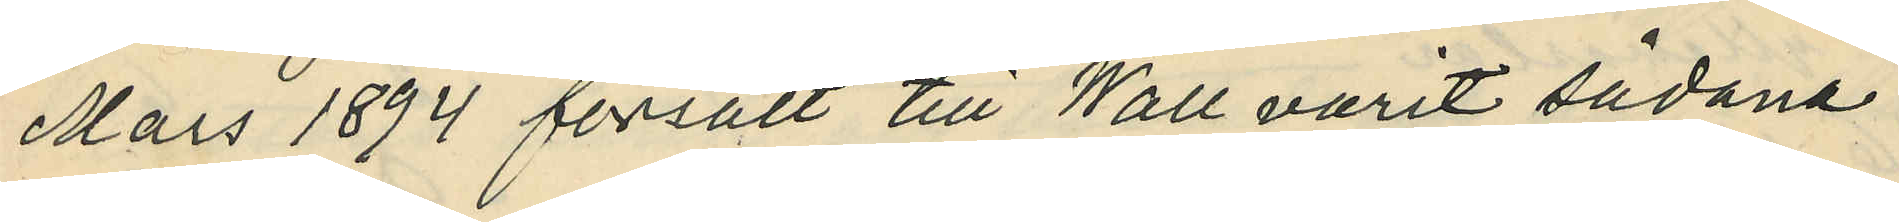Mars 1894 försålt till Wall varit sådana
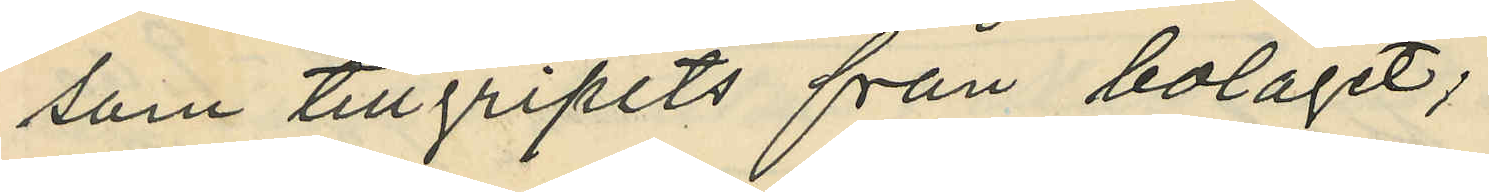som tillgripits från bolaget;
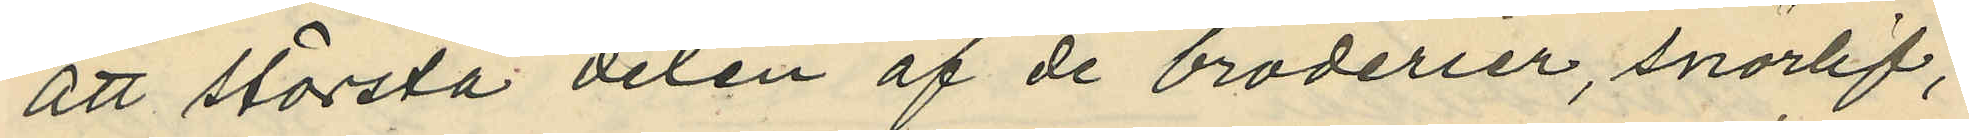att största delen af de broderier, snörlif,
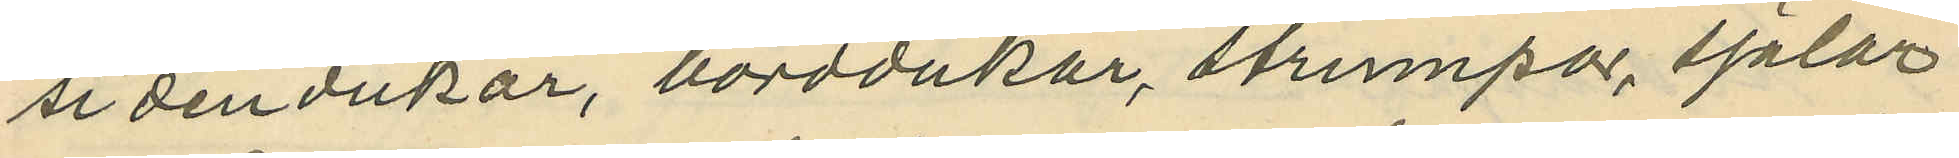sidendukar, borddukar, strumpor sjalar
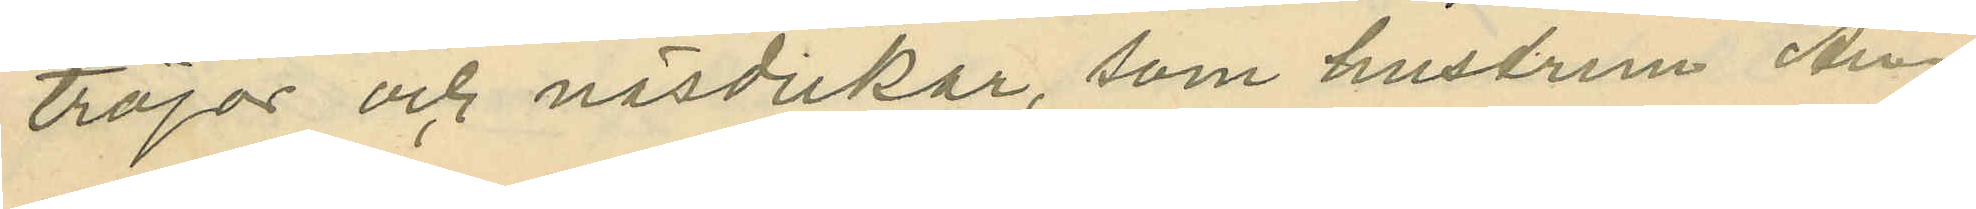tröjor och näsdukar, som hustrun An¬
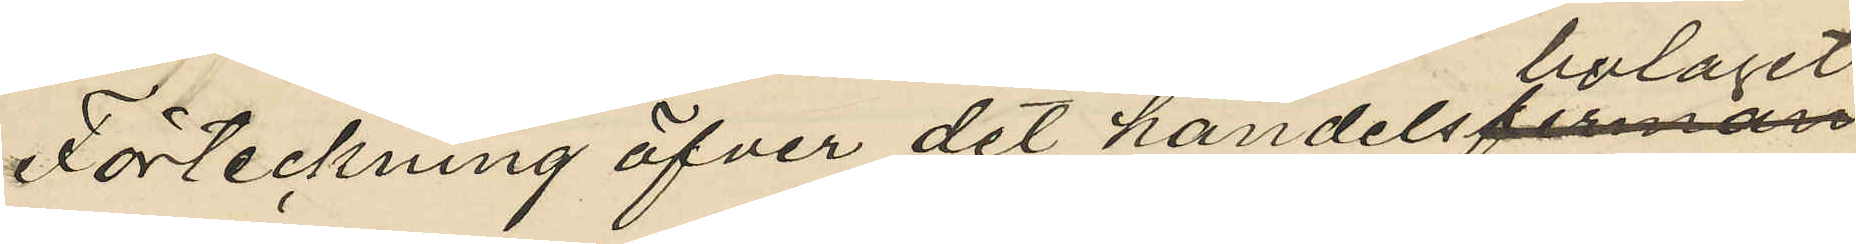Förteckning öfver det handelsbolaget
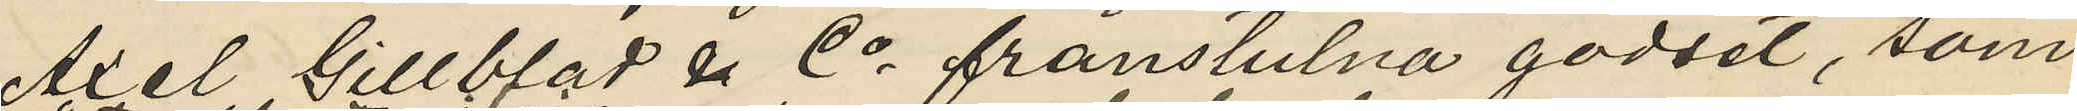Axel Gillblad & Co frånstulna godset, som
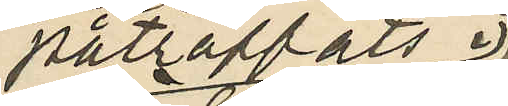påträffats i
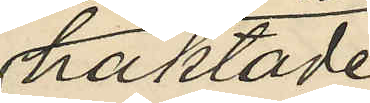häktade
